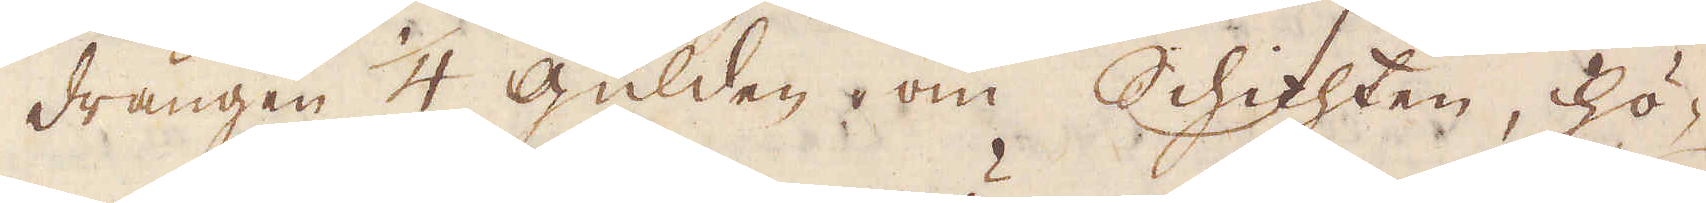drängen 1/4 gulden, om Schichten, hö-
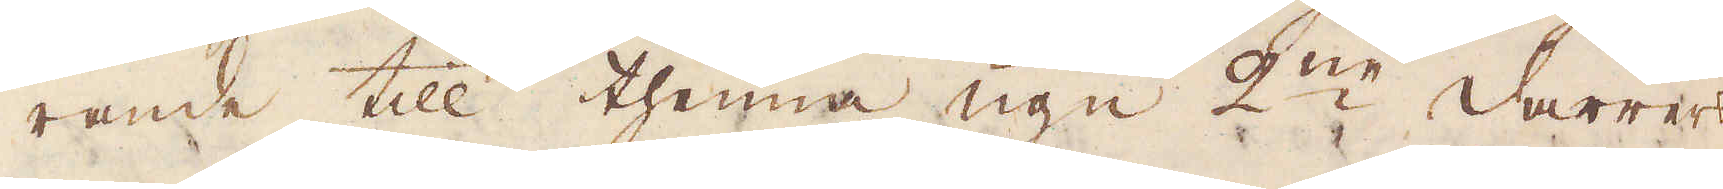rande till thenna ugn 2:ne darrers
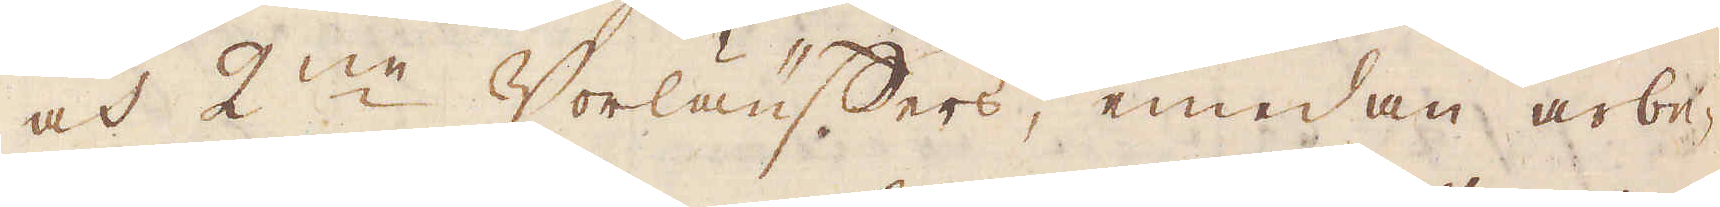och 2:ne Vorläuffers, emedan arbe-
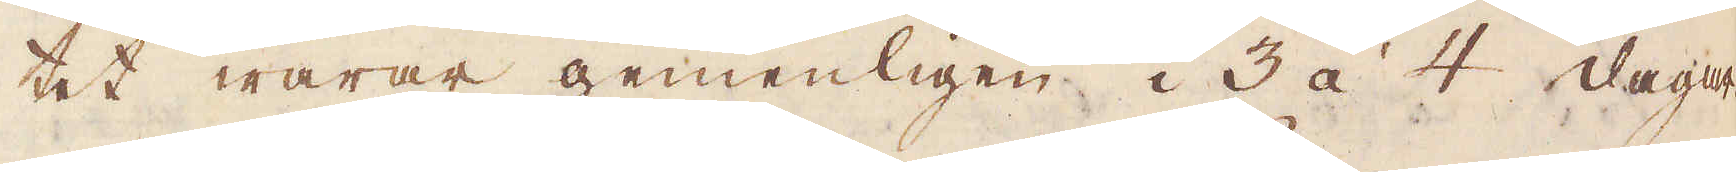tet warar gemenligen i 3 à 4 dagar.
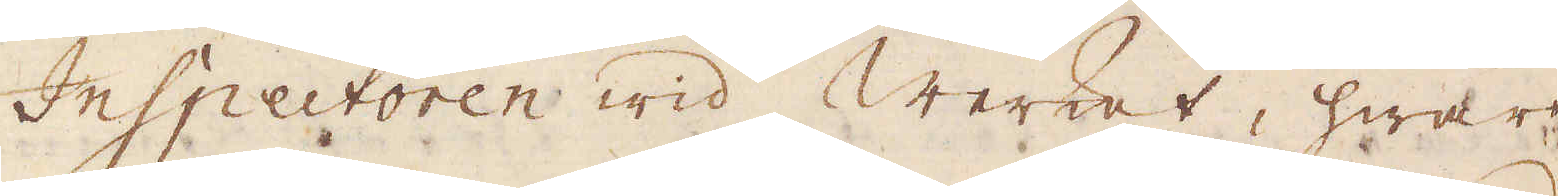Inspectoren wid Werket, hwars
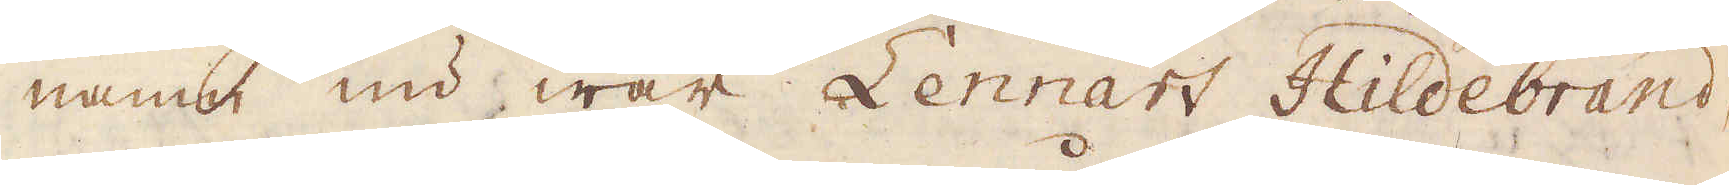namn nu war Lennart Hildebrand,
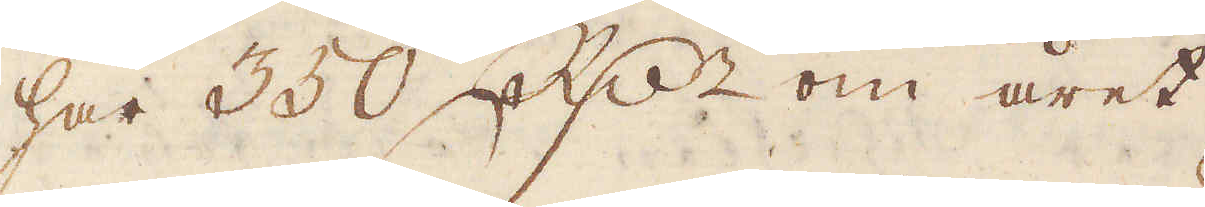har 350 R:dr om året.
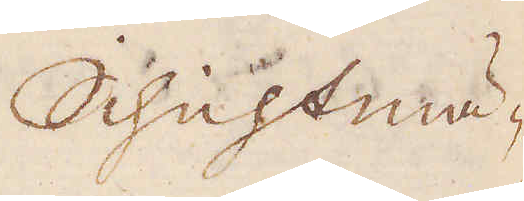Schichtmä-
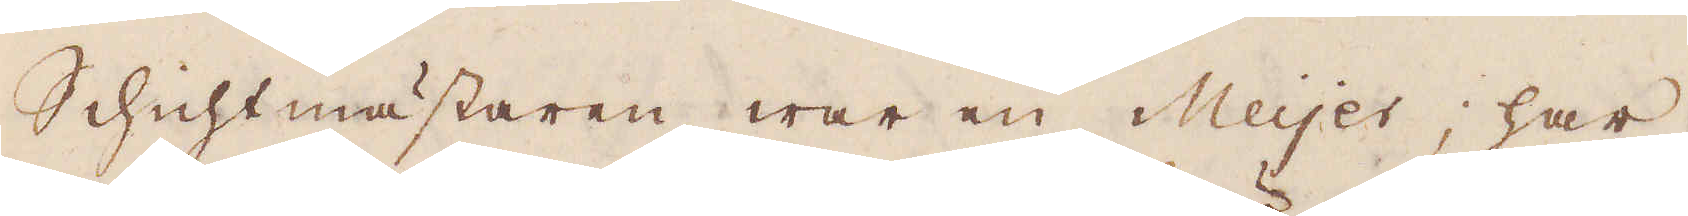Schichtmästaren war en Meyer; har
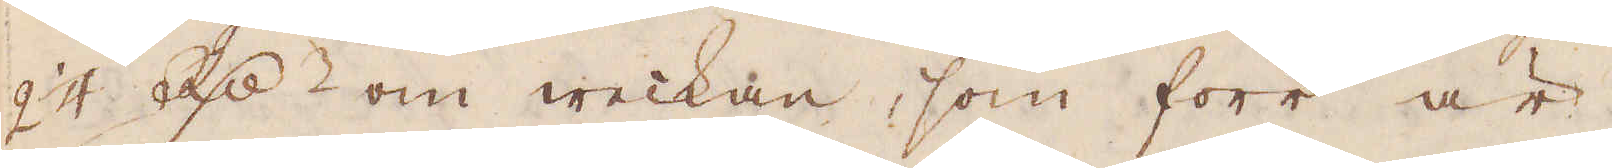2 1/4 R:dr om weckan, som förr är,
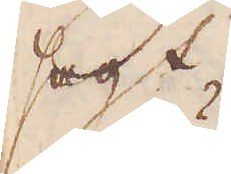sagt.
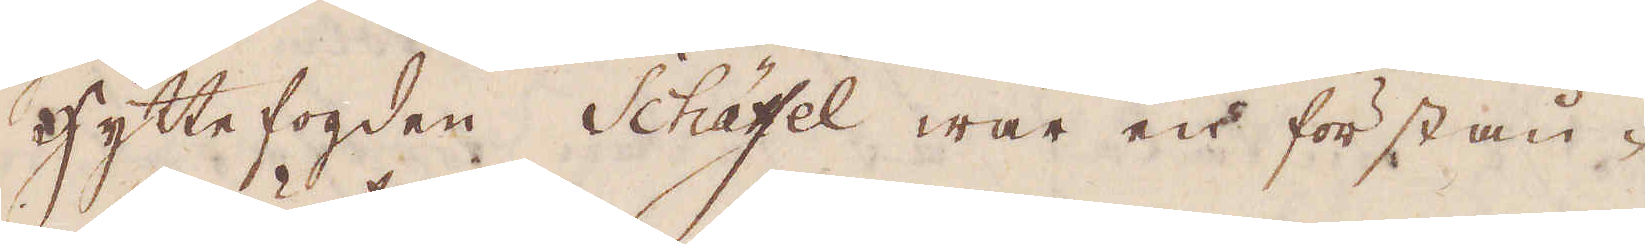Hyttefogden Schätsel war en förstån-
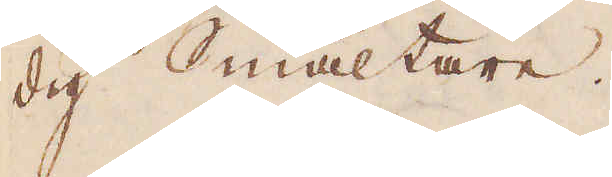dig Smältare.
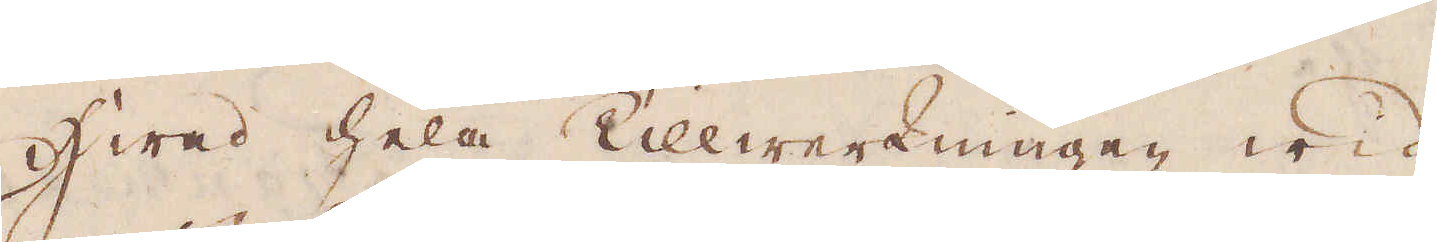Hwad hela Tillwerkningen wid
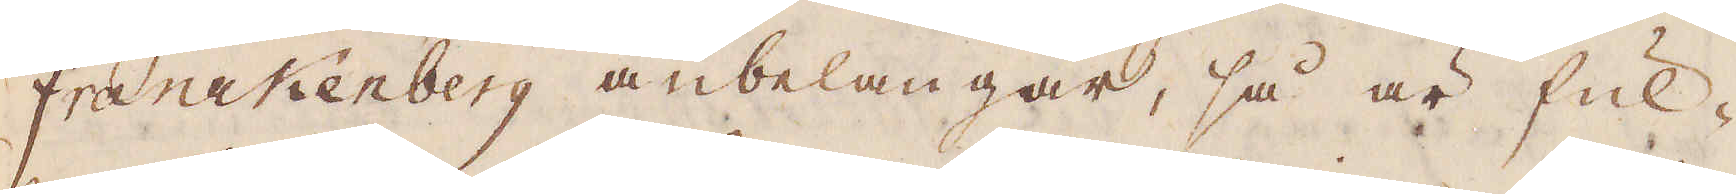Franckenberg anbelangar, så är ful-
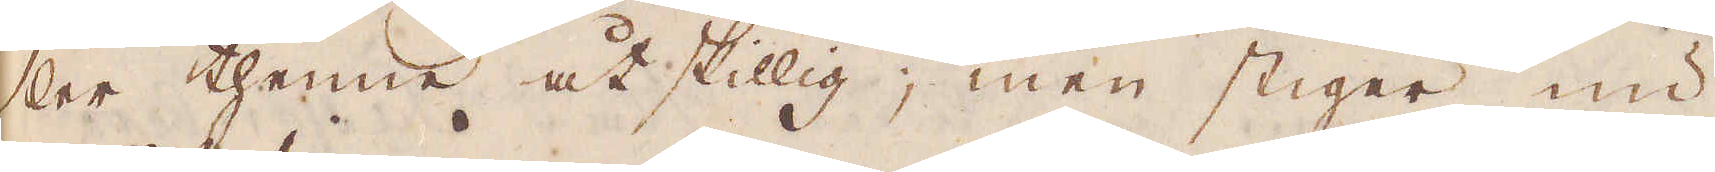ler thenne åtskillig; men stigger nu
